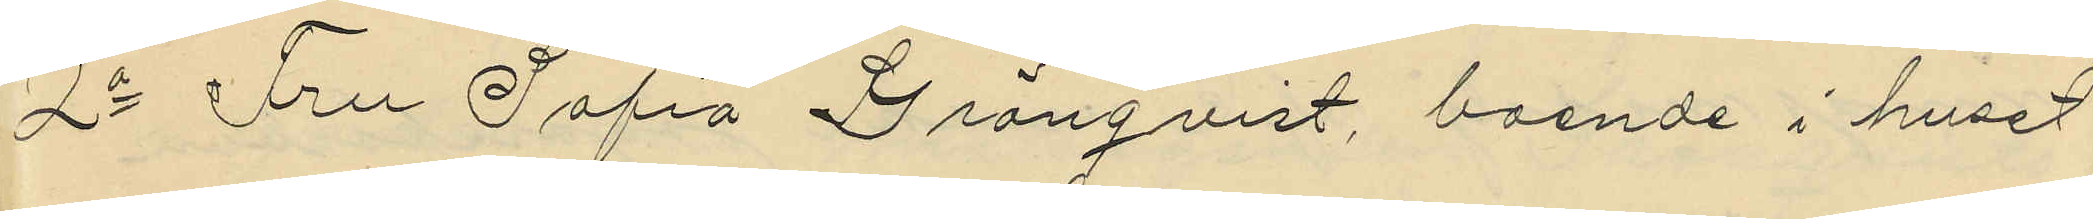2o Fru Sofia Grönqvist, boende i huset
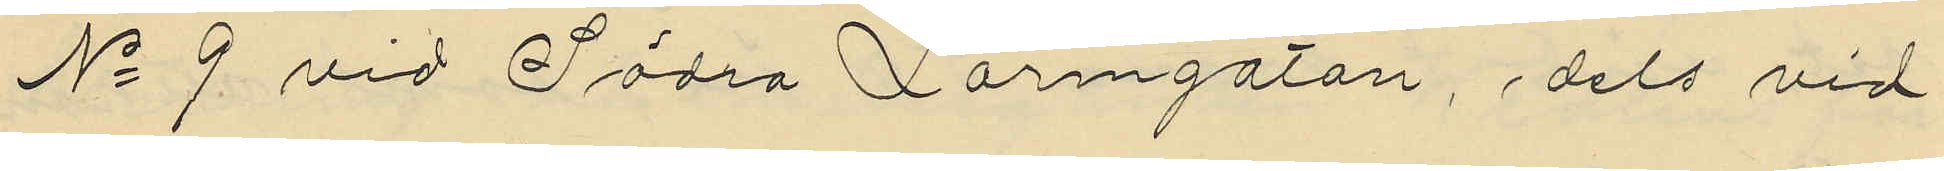No 9 vid Södra Larmgatan, dels vid
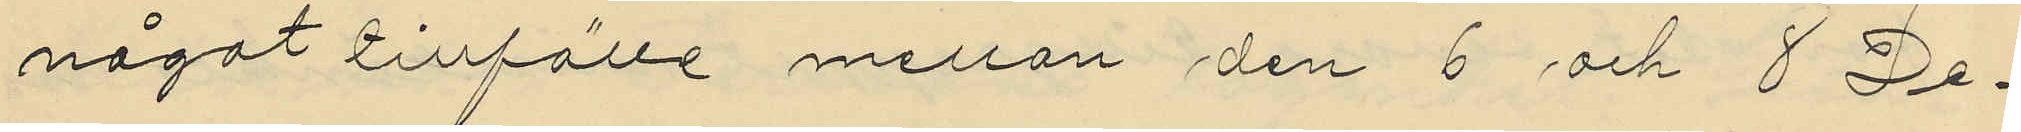något tillfälle mellan den 6 och 8 De¬
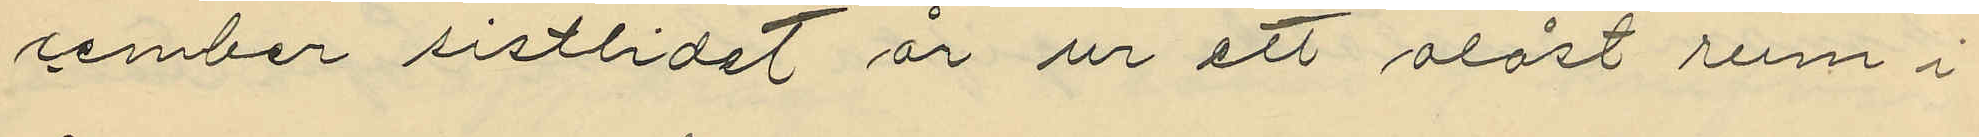cember sistlidet år ur ett olåst rum i
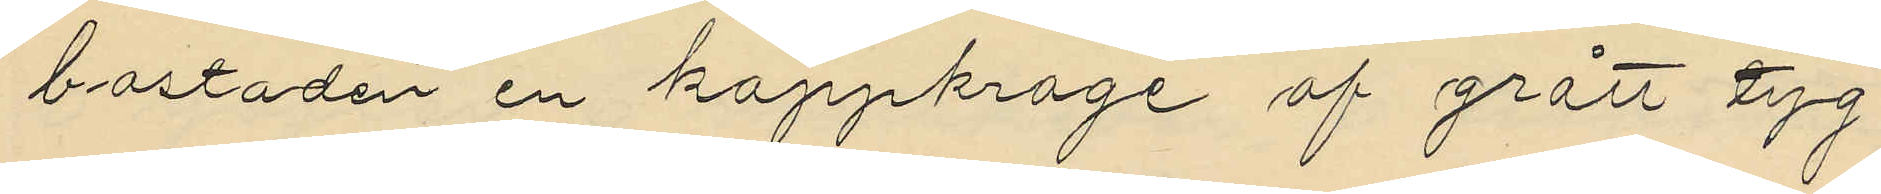bostaden en kappkrage af grått tyg
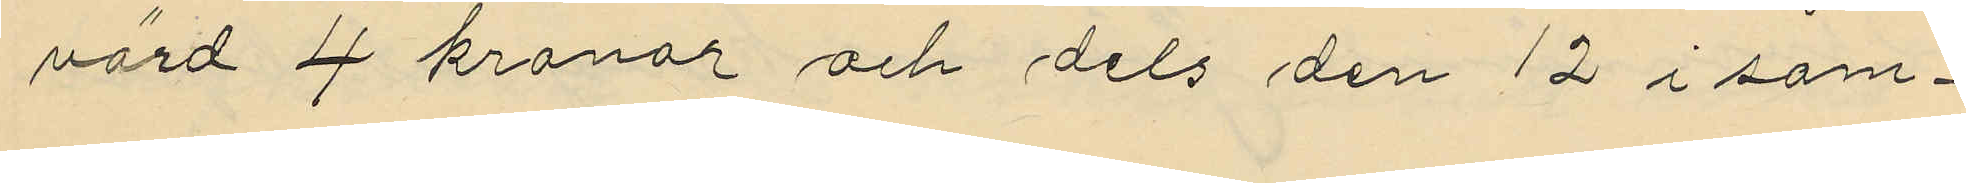värd 4 kronor och dels den 12 i sam¬
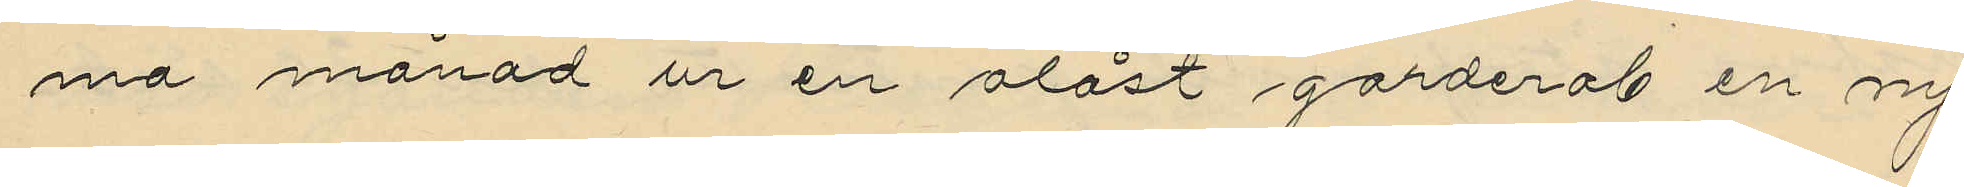ma månad ur en olåst garderob en ny
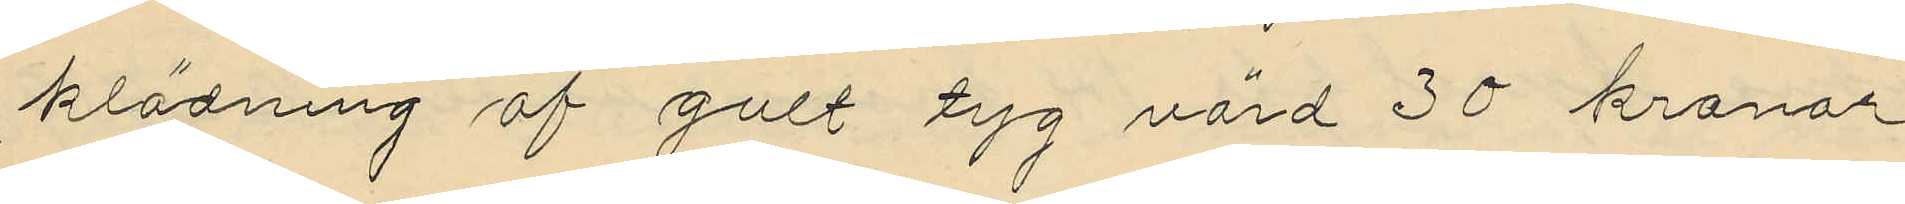klädning af gult tyg värd 30 kronor
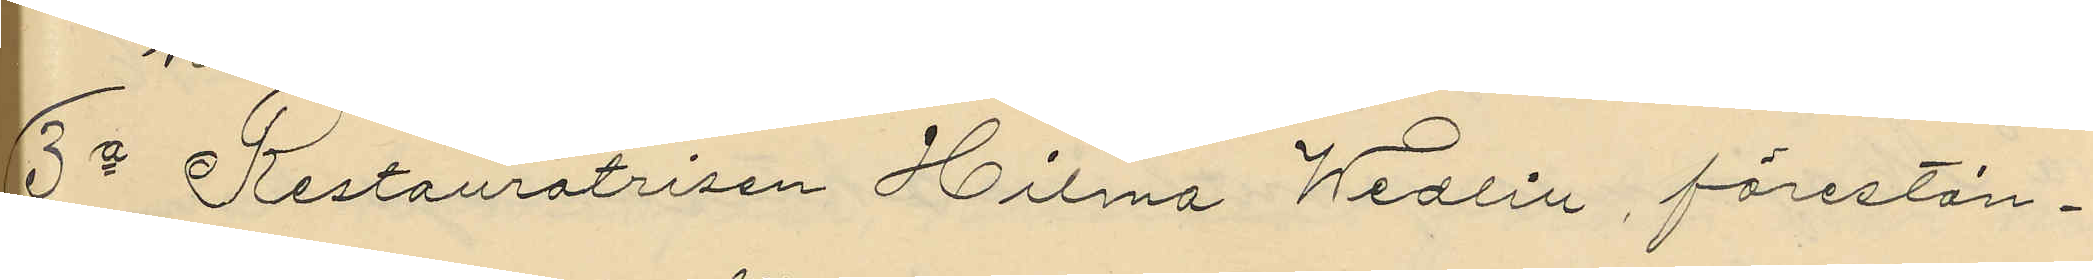3o Restauratrisen Hilma Wedlin, förestån¬
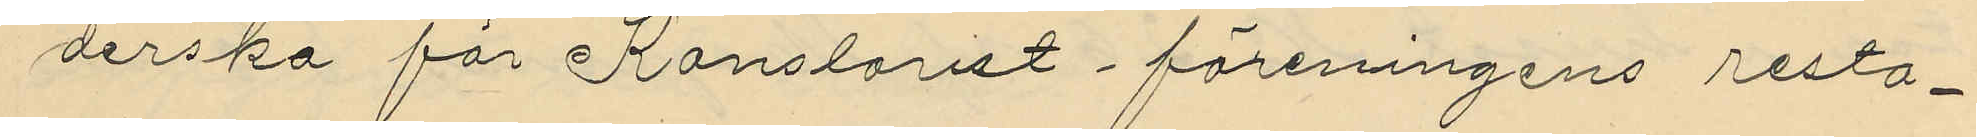derska för Kontorist-föreningens resta¬
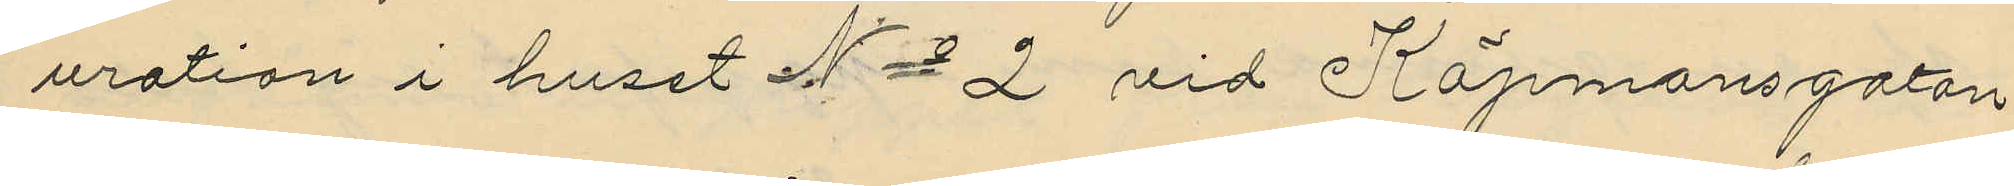uration i huset No 2 vid Köpmansgatan
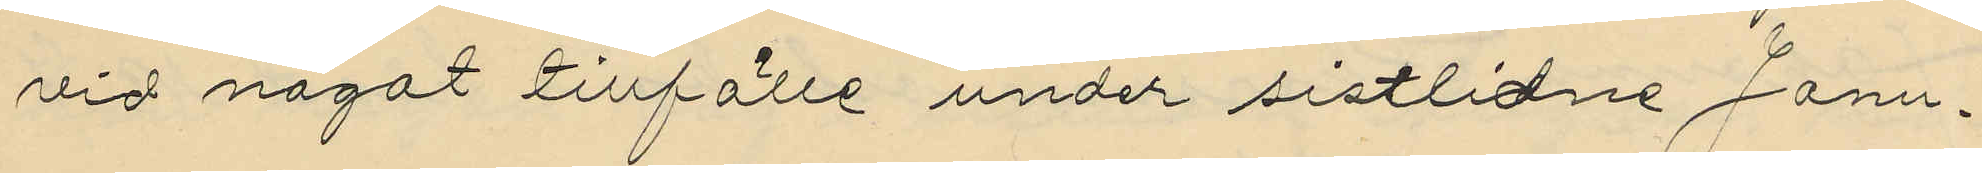vid något tillfälle under sistlidne Janu¬
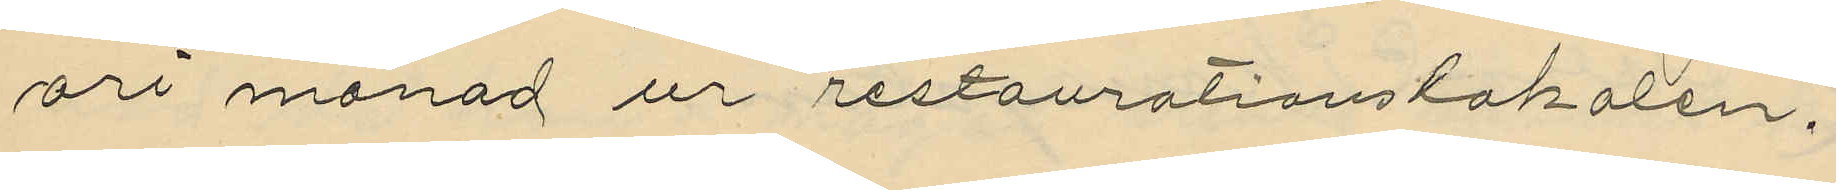ari månad ur restaurationslokalen,
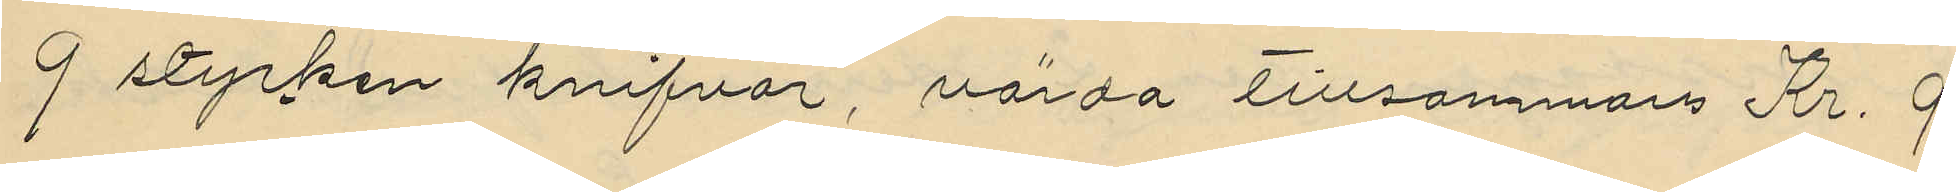9 stycken knifvar, värda tillsammans Kr. 9.
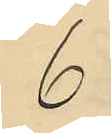6
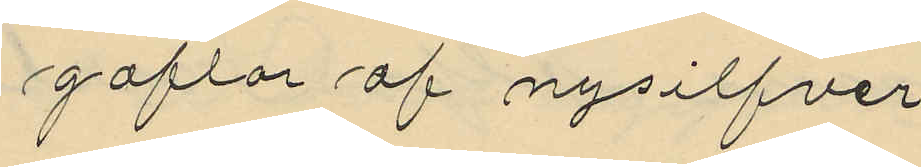gaflar af nysilfver
